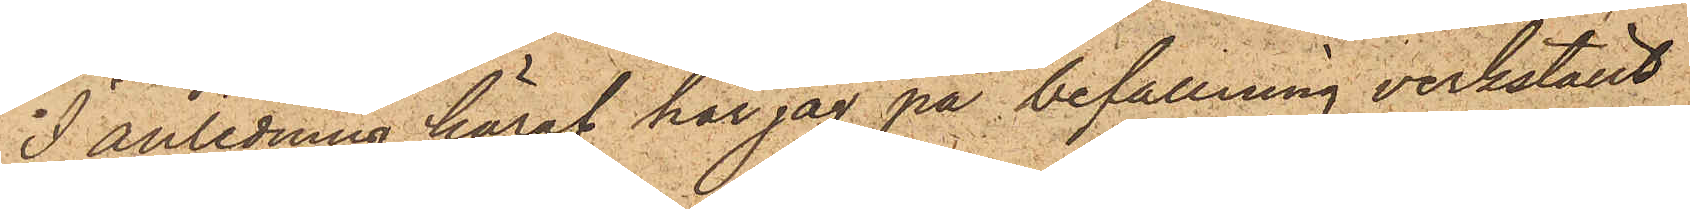I anledning häraf har jag på befallning verkställt
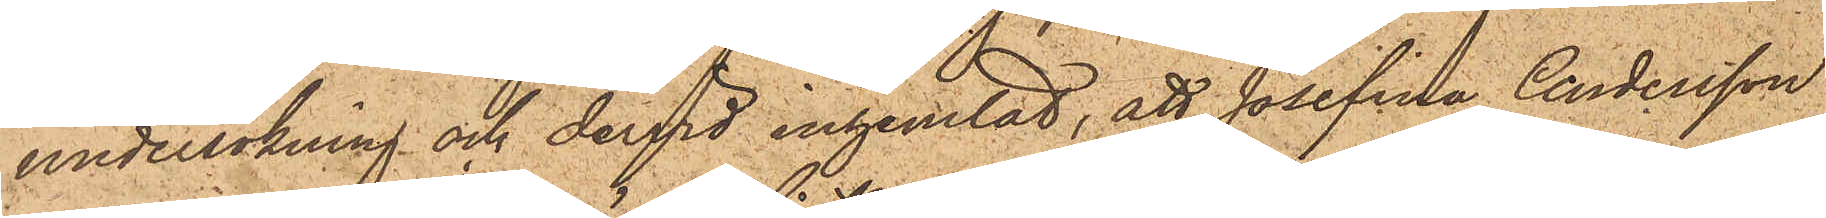undersökning och dervid inhemtat, att Josefina Andersson
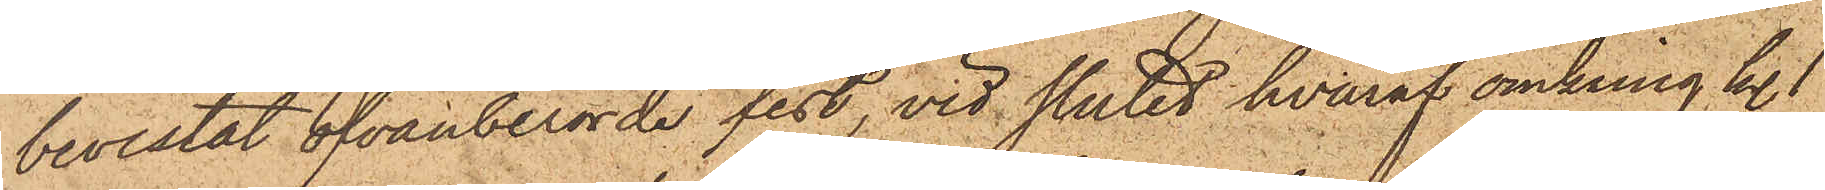bevistat ofvanberörde fest, vid slutet hvaraf omkring kl. 1
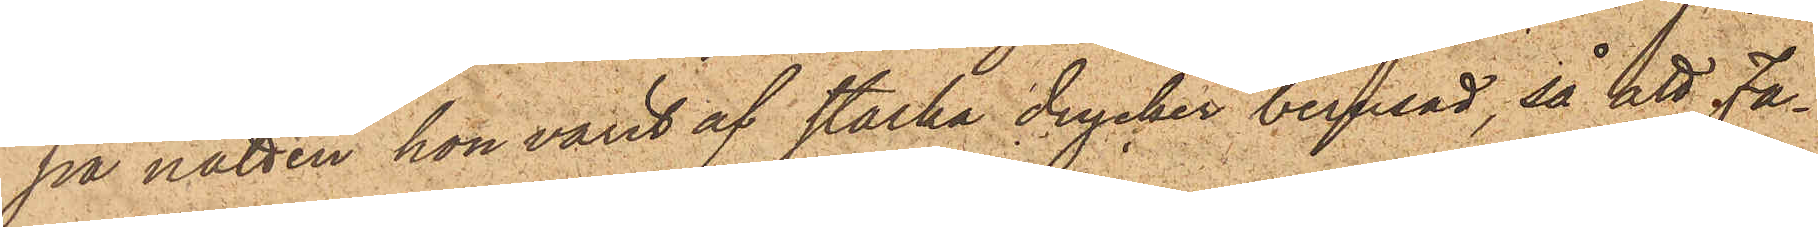på natten hon varit af starka drycker berusad, så att Fa¬
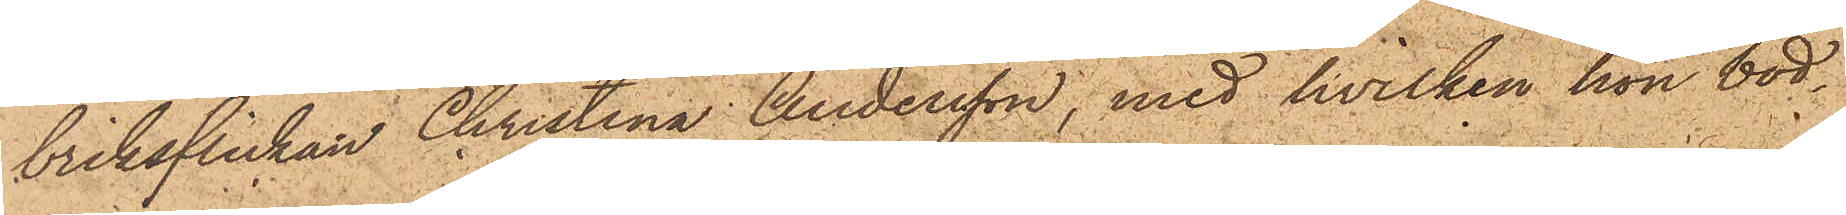briksflickan Christina Andersson, med hvilken hon bod¬
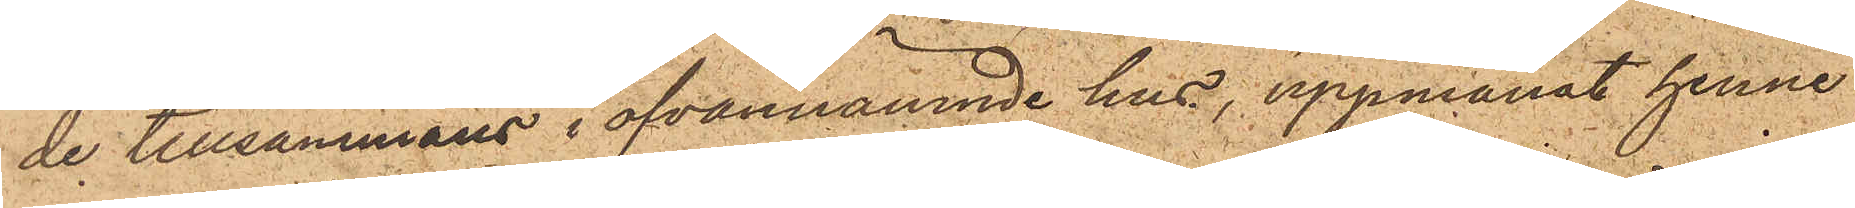de tillsammans i ofvannämnde hus, uppmanat henne
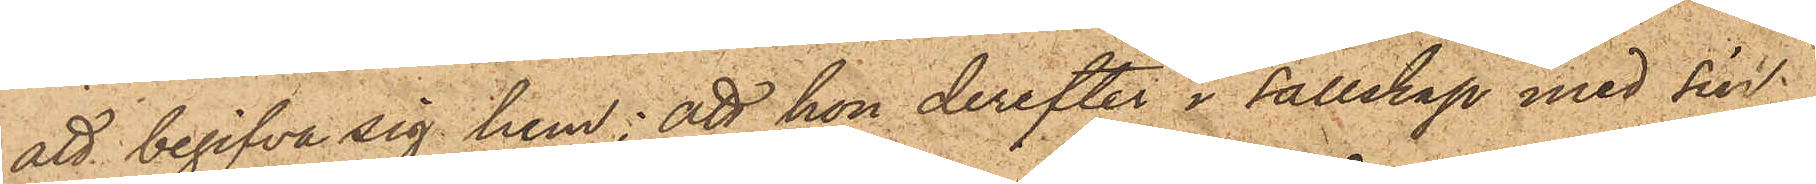att begifva sig hem; att hon derefter i sällskap med sin
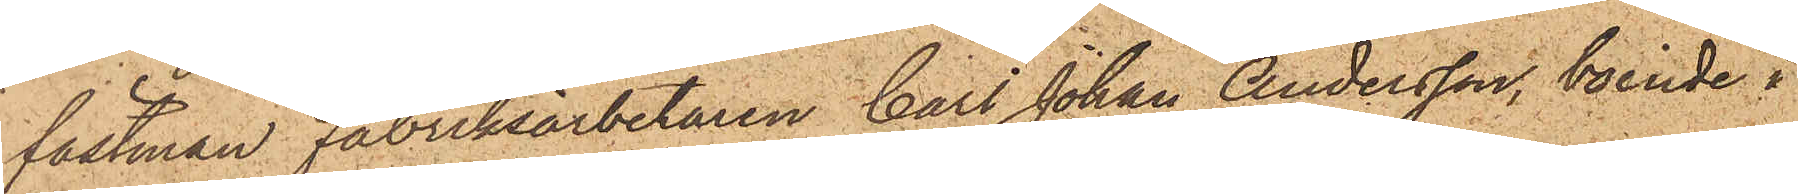fästman Fabriksarbetaren Carl Johan Andersson, boende i
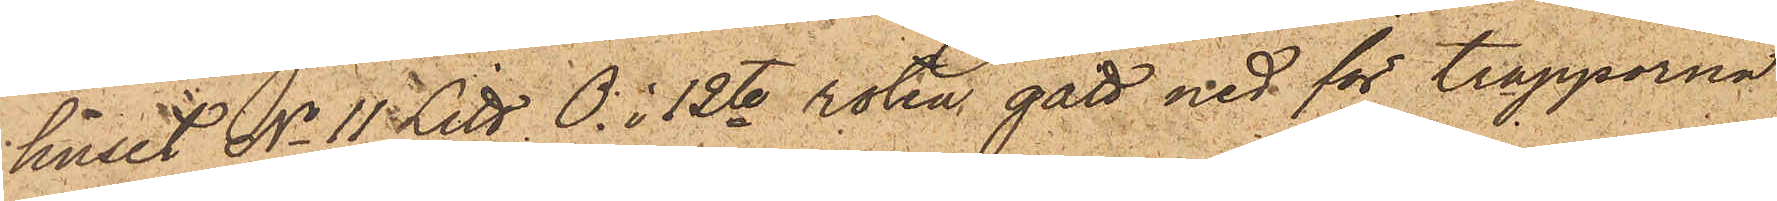huset No 11 Litt. O. i 12te roten gått ned för trapporna
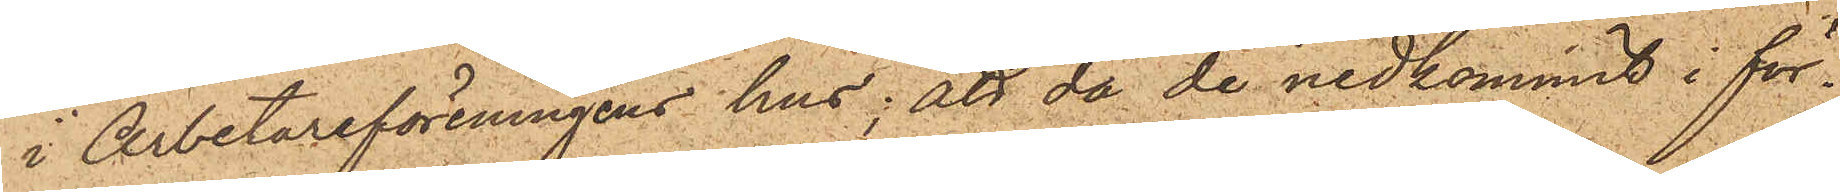i Arbetareföreningens hus; att då de nedkommit i för¬
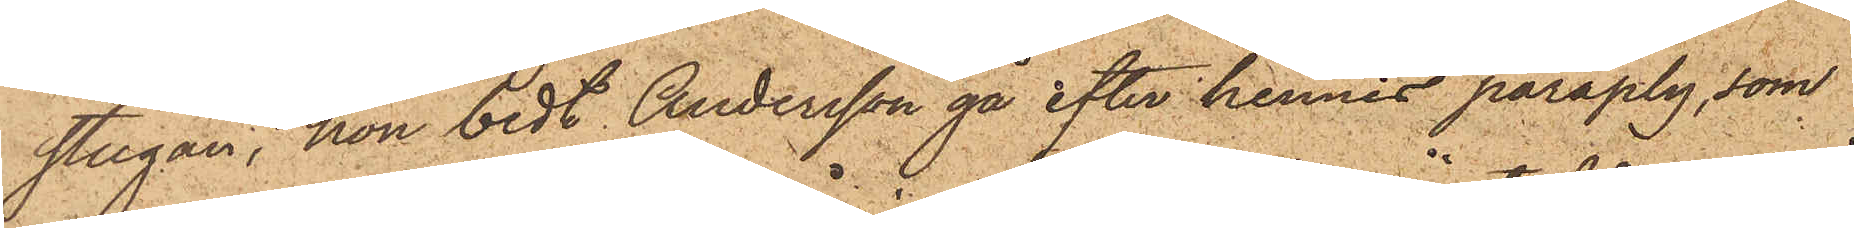stugan, hon bedt Andersson gå efter hennes paraply, som
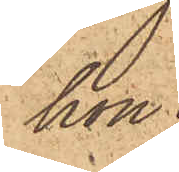hon
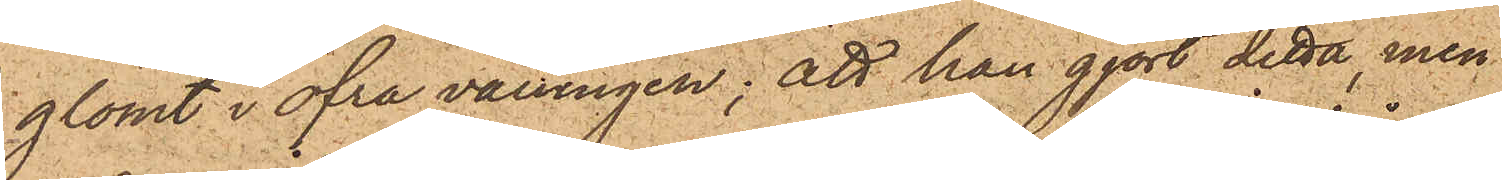glömt i öfra våningen; att han gjort detta, men
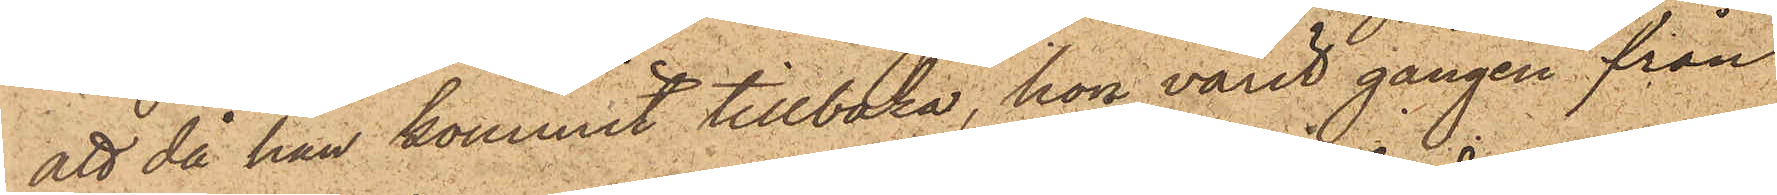att då han kommit tillbaka, hon varit gången från
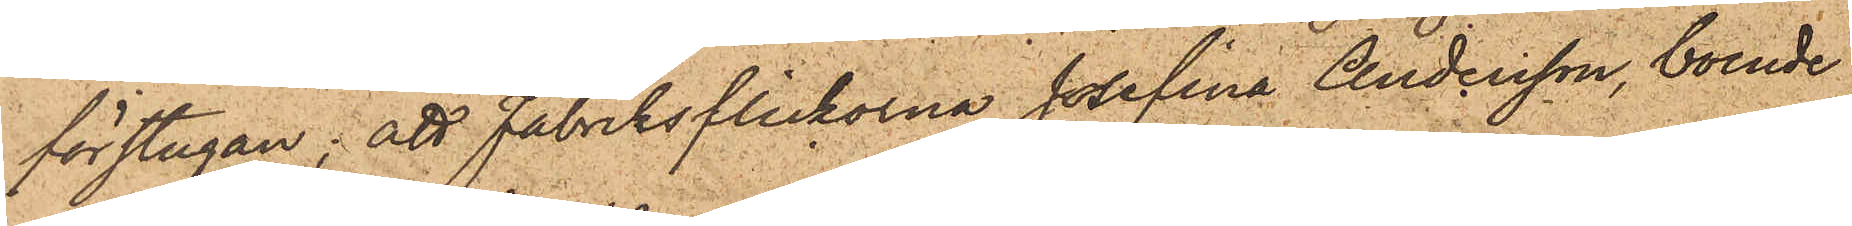förstugan; att Fabriksflickorna Josefina Andersson, boende
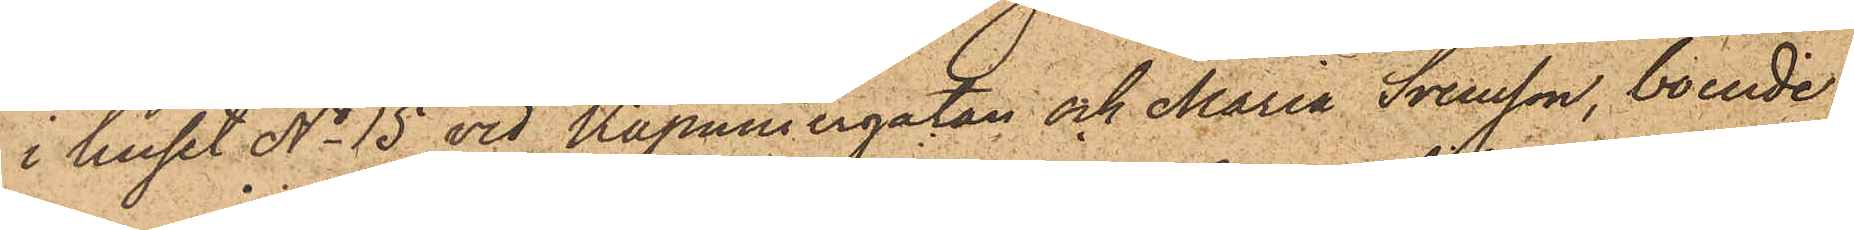i huset No 15 vid Kapuniergatan och Maria Svensson, boende
